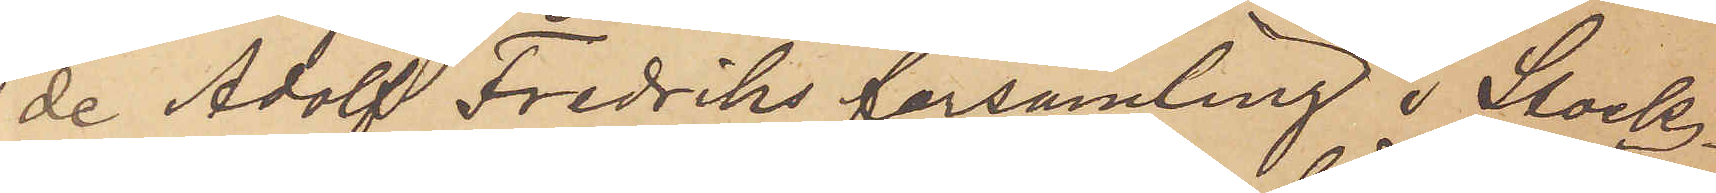de Adolf Fredriks församling i Stock¬
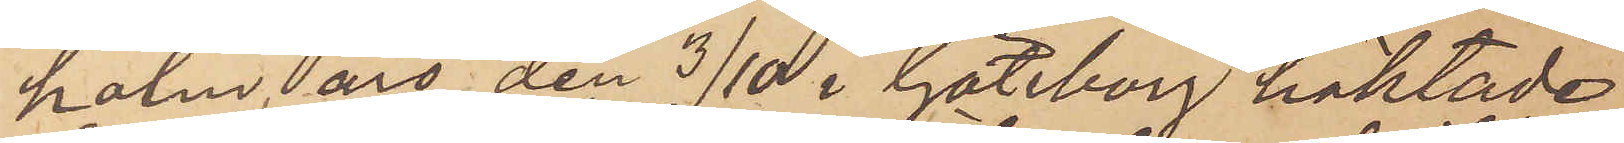holm, äro den 3/10 i Göteborg häktade
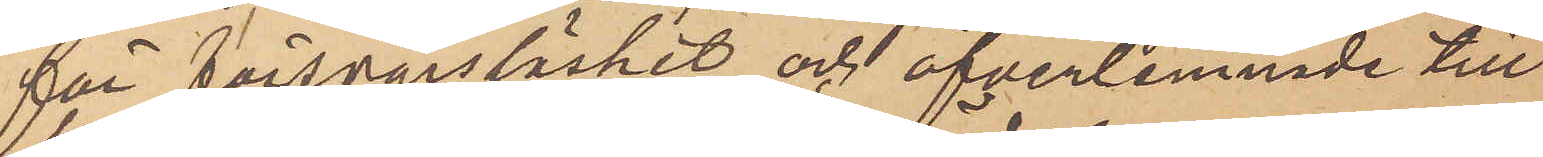för försvarslöshet och öfverlemnade till
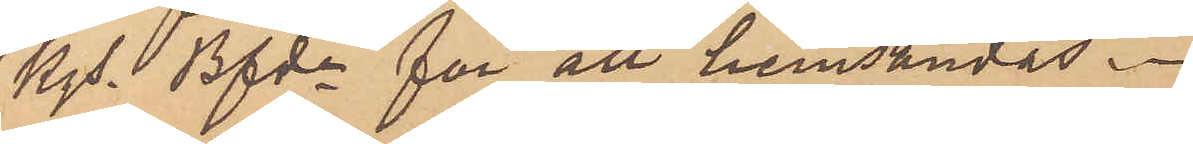Kgs Bfde för att hemsändas.
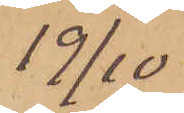19/10
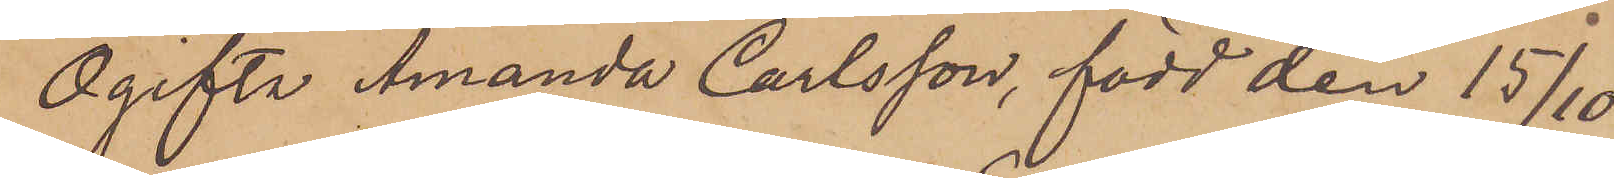Ogifta Amanda Carlsson, född den 15/10
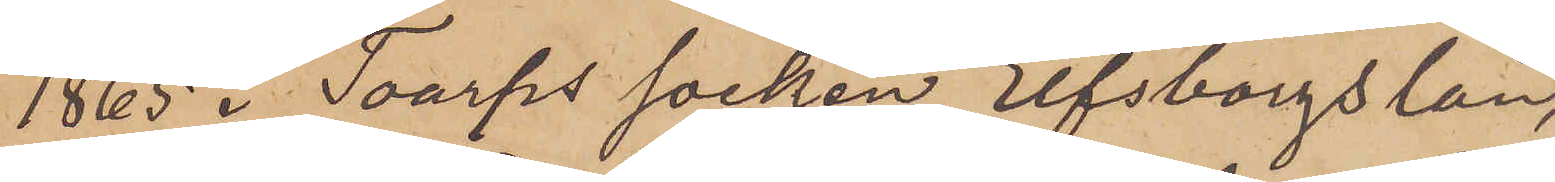1865 i Toarps socken Elfsborgs län,
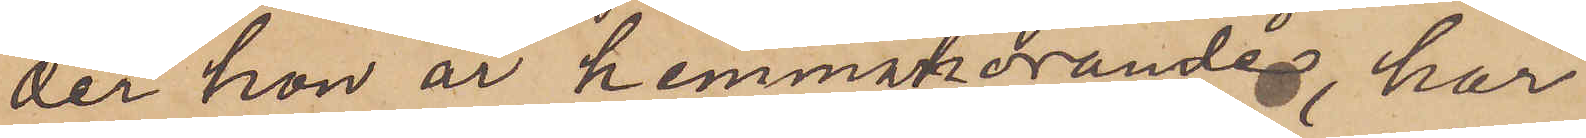der hon är hemmahörande, har
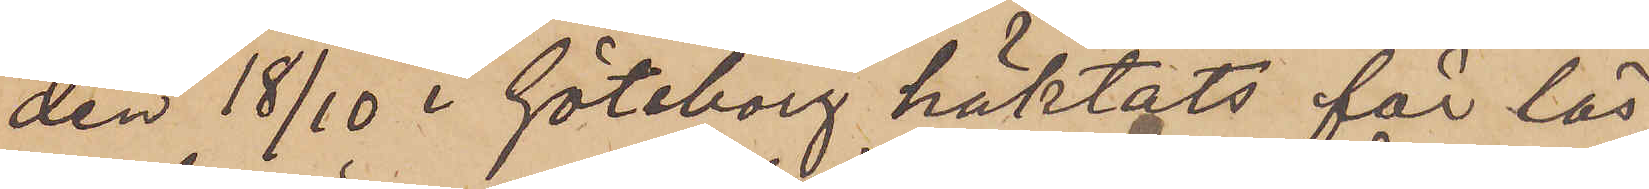den 18/10 i Göteborg häktats för lös¬
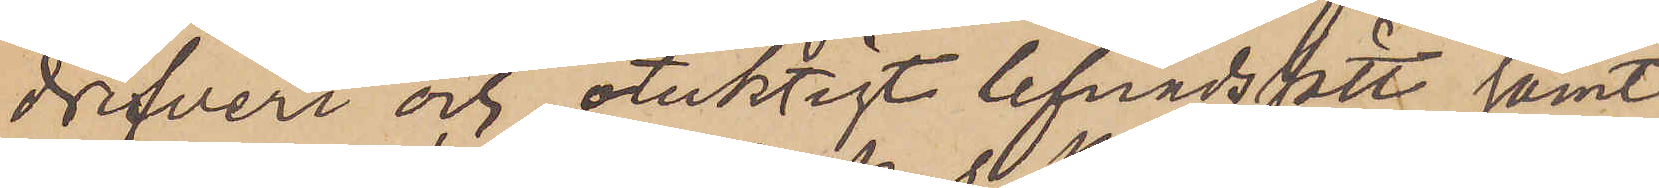drifveri och otuktigt lefnadssätt samt
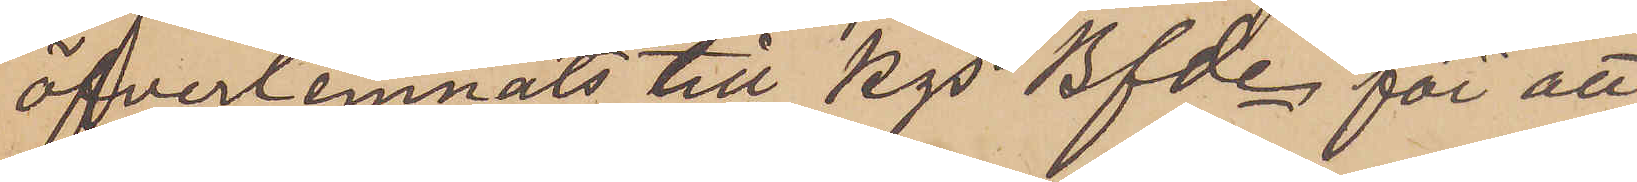öfverlemnats till Kgs Bfde för att
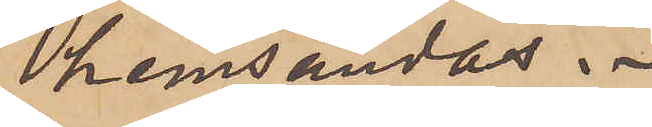hemsändas.
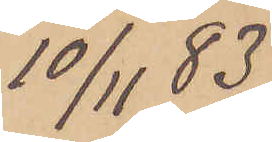10/11 83
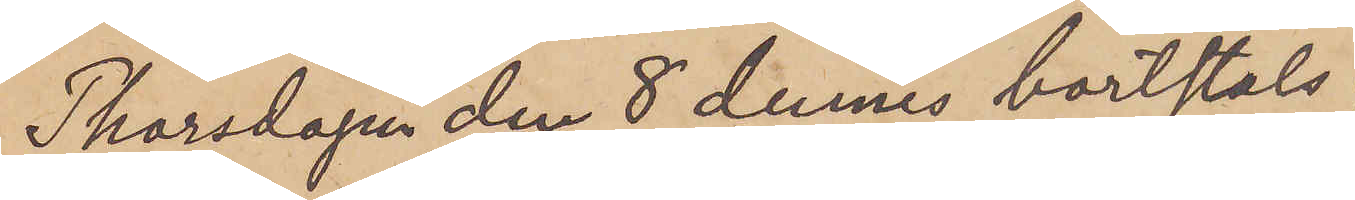Thorsdagen den 8 dennes bortstals
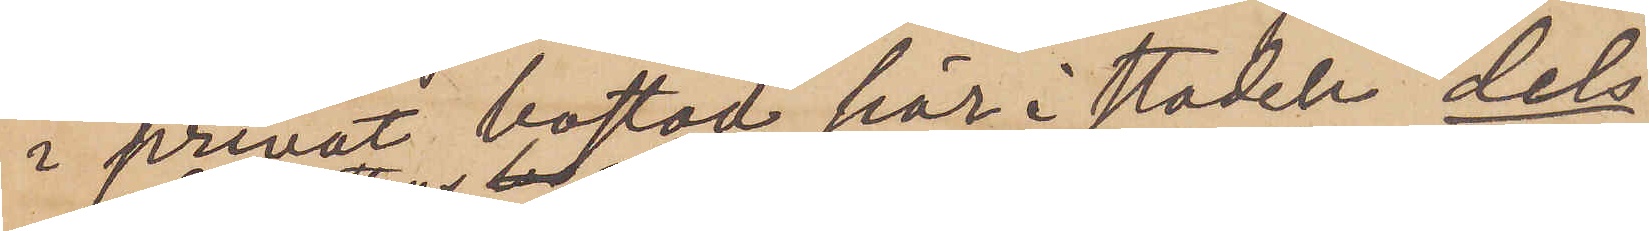i prenat bostad här i staden, dels
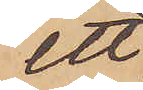ett
